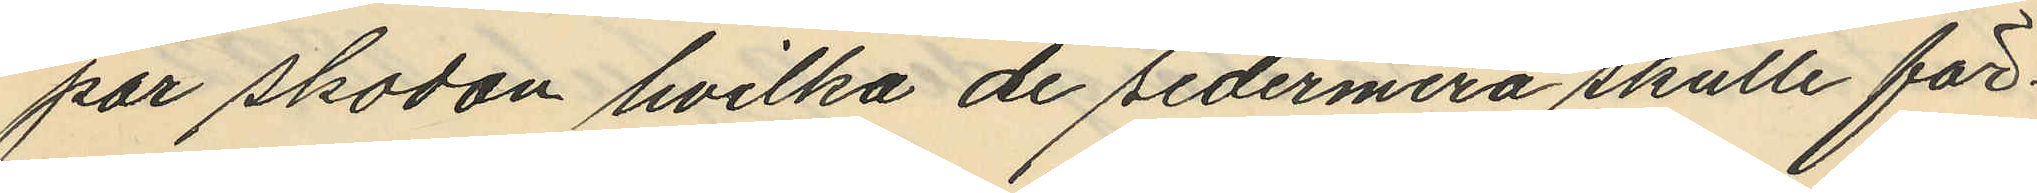par skodon hvilka de sedermera skulle för¬
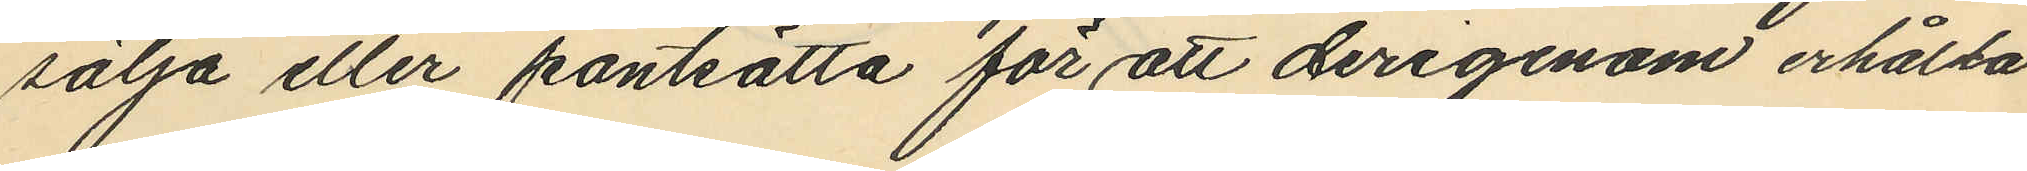sälja eller pantsätta för att derigenom erhålla
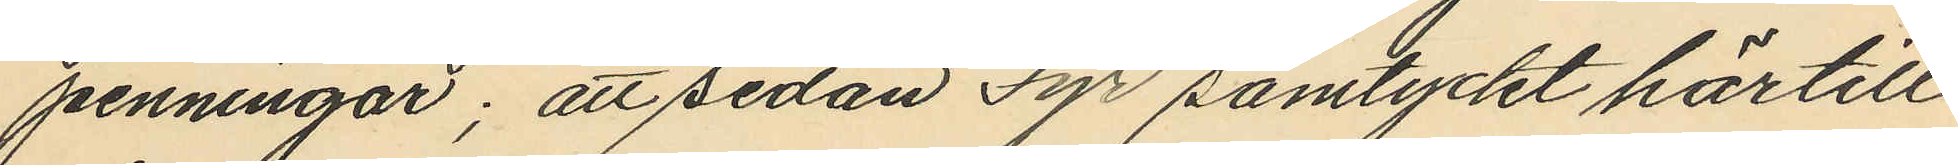penningar; att sedan Fyr samtyckt härtill
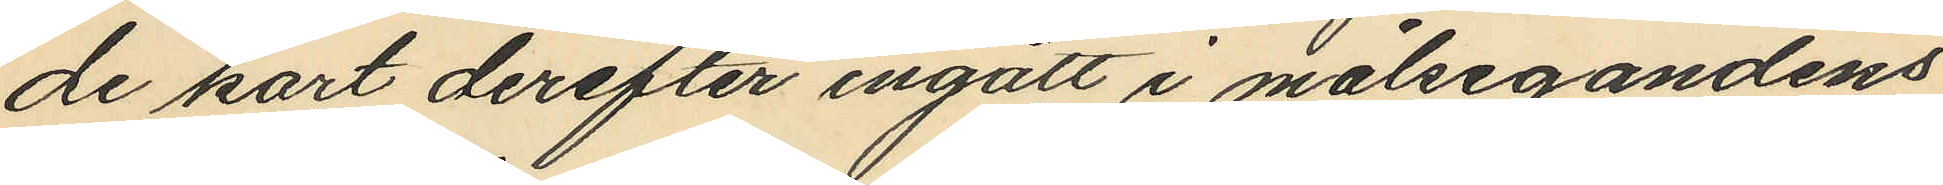de kort derefter ingått i målsegandens
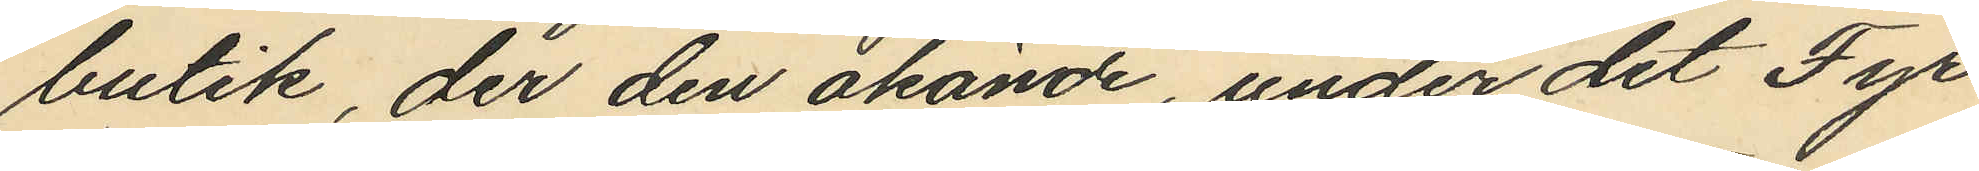butik, der den okände, under det Fyr
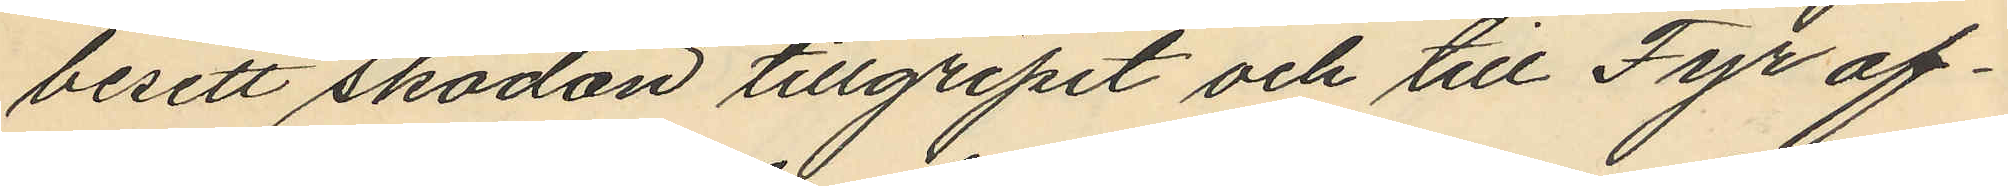besett skodon tillgripit och till Fyr of¬
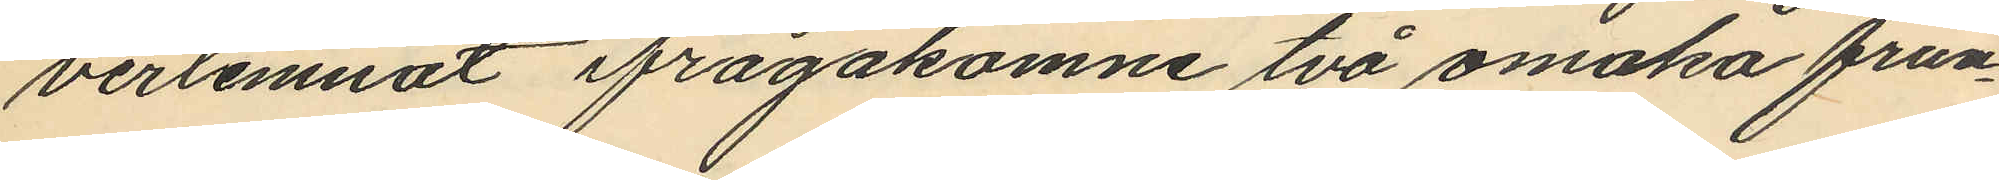verlemnat ifrågakomne två omaka frun¬
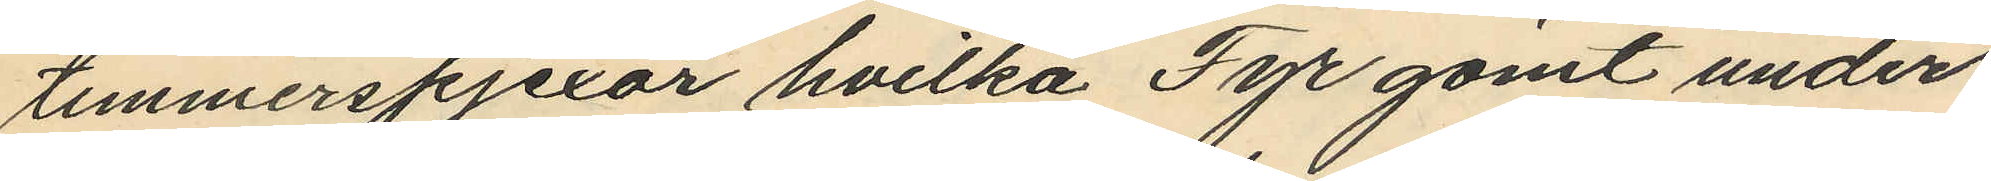timmerspjexor hvilka Fyr gömt under
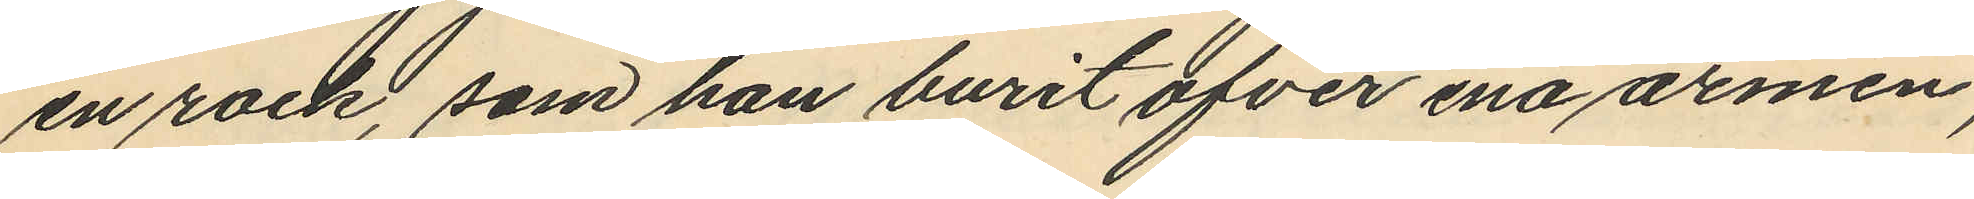en rock, som han burit ofver ena armen,
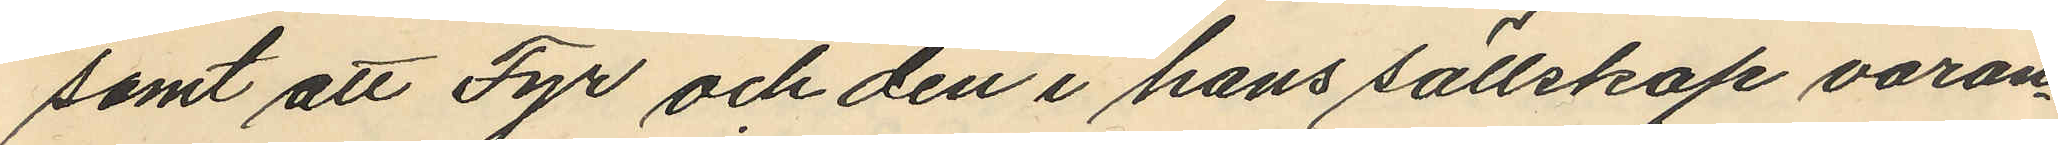samt att Fyr och den i hans sällskap varan¬
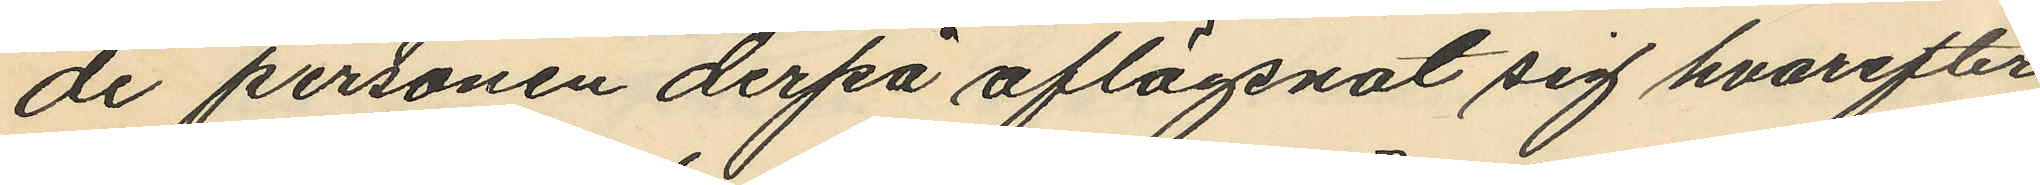de personen derpå aflägsnat sig hvarefter
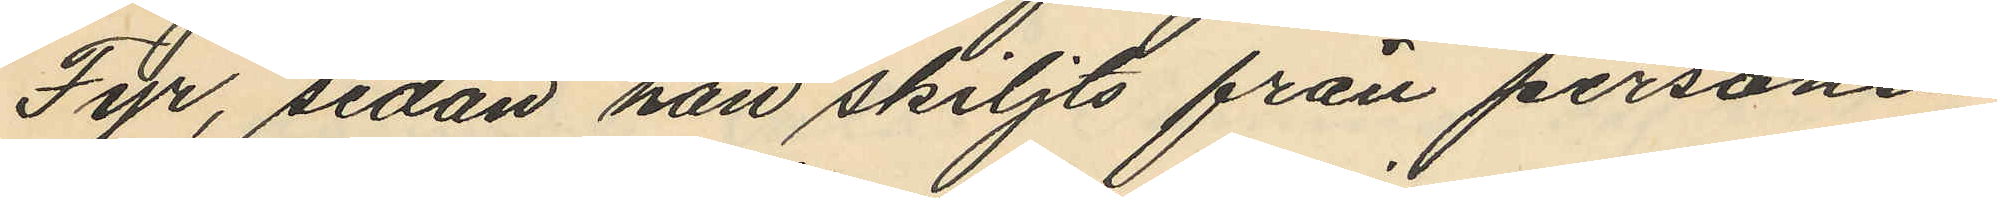Fyr, sedan han skiljts från personen
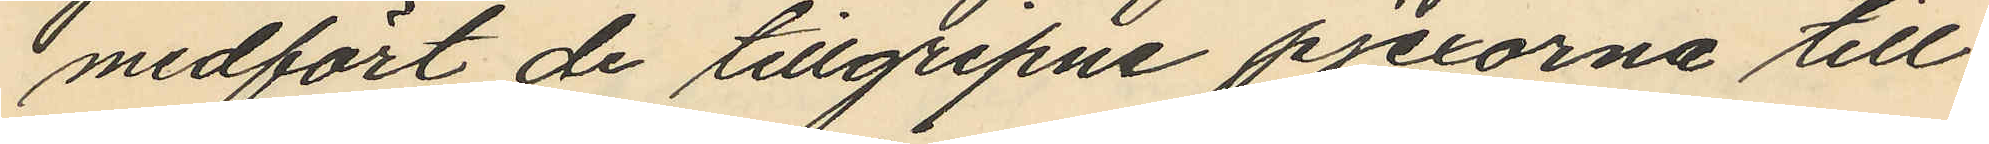medfört de tillgripne pjexorna till
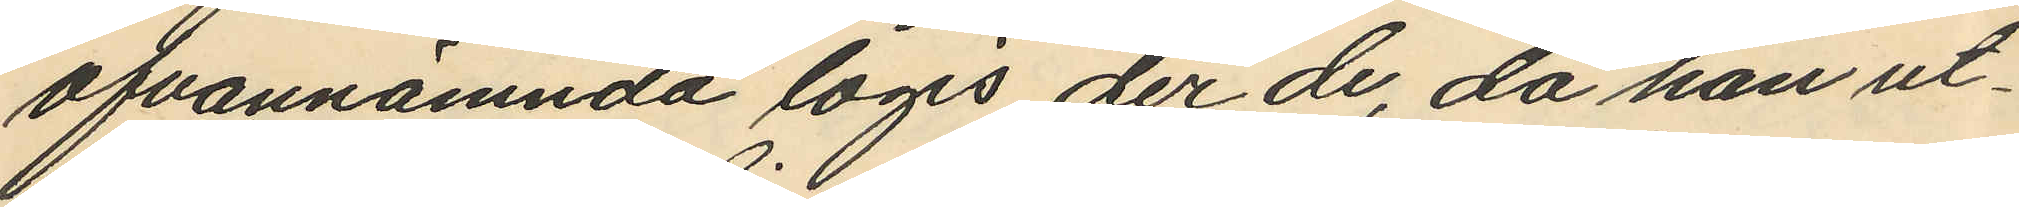ofvannämnda logis der de, då han ut¬
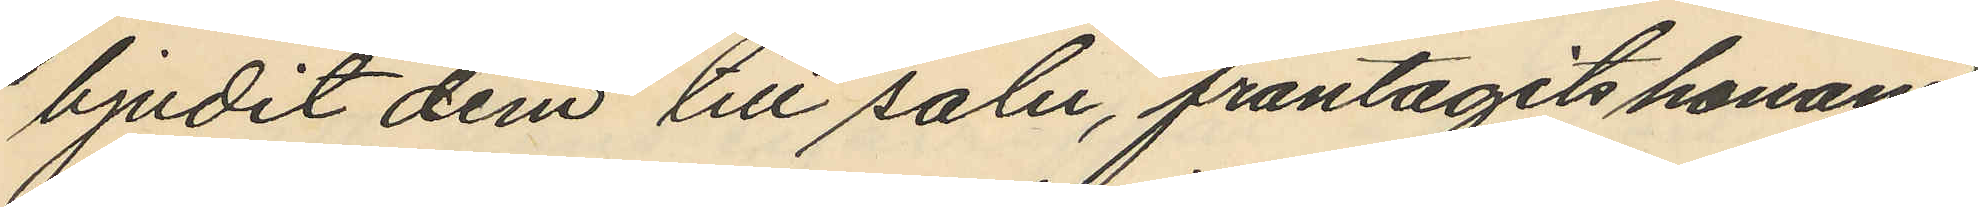bjudit dem till salu, fråntagits honom
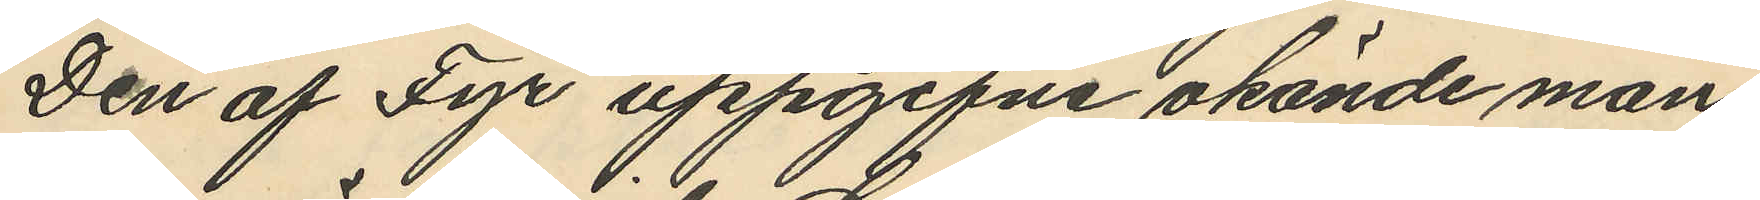Den af Fyr uppgifne okände man¬
